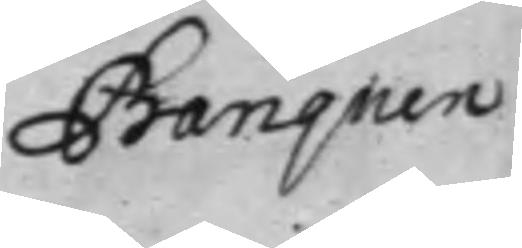Banquen
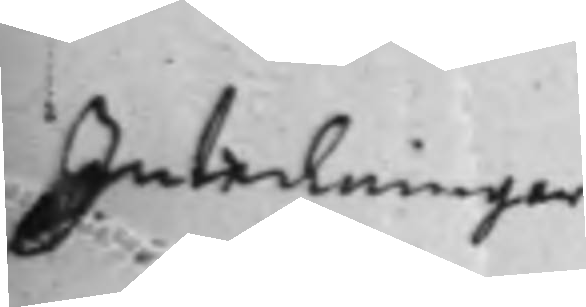Inteckningar
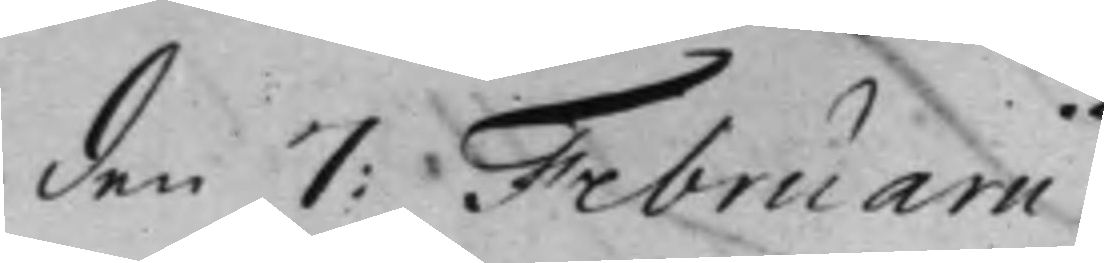den 7: Februarii
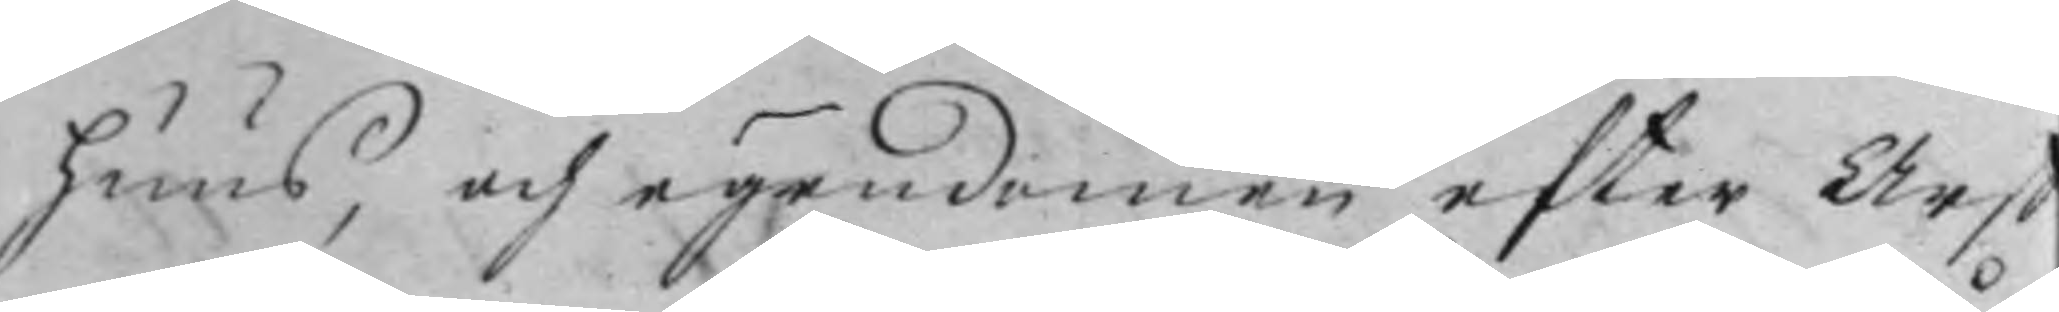huus, och ägendomen efter Arf
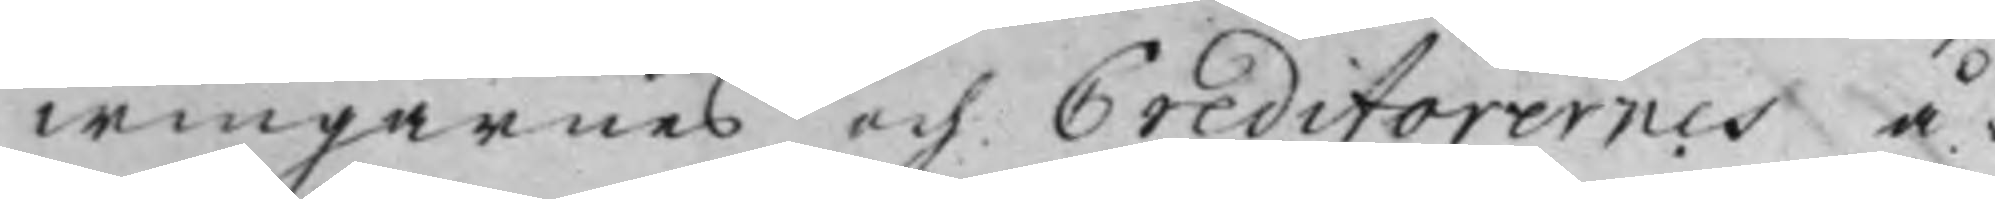wingarnes och Creditorernes å¬
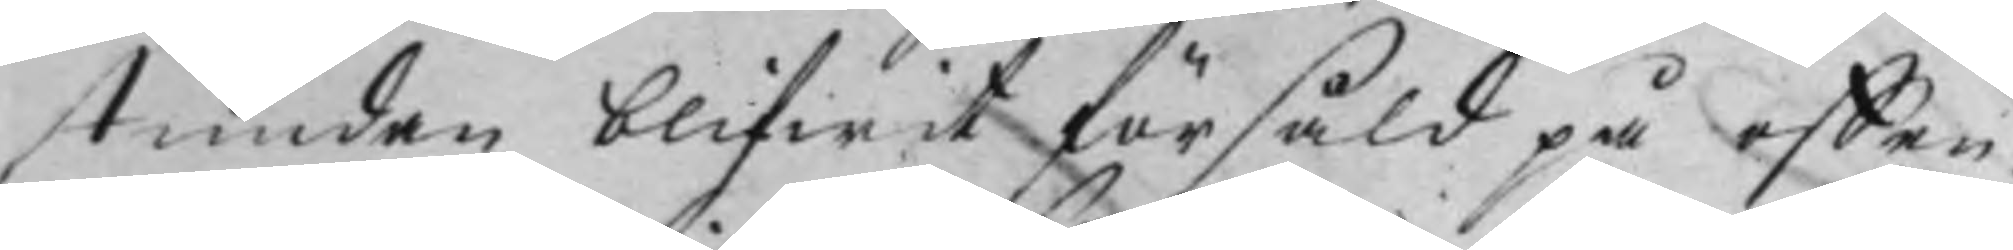stundan blifwit försåld på offen¬
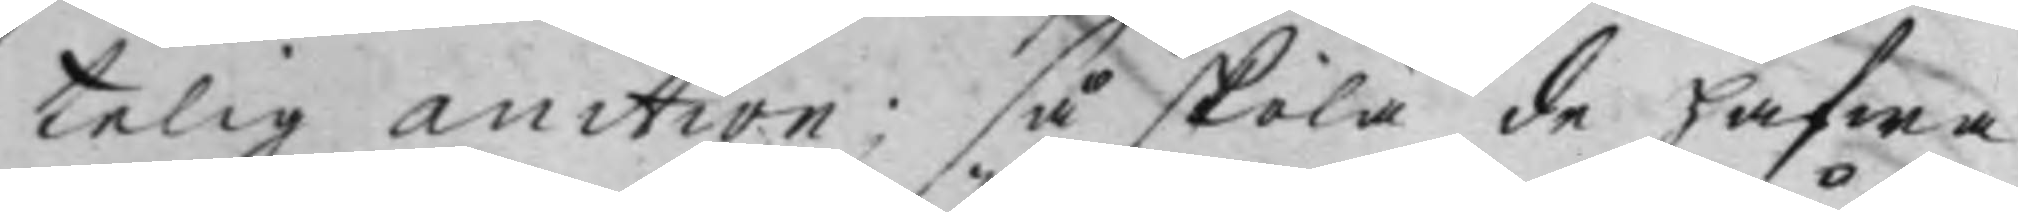telig Auction; så skola de hafwa
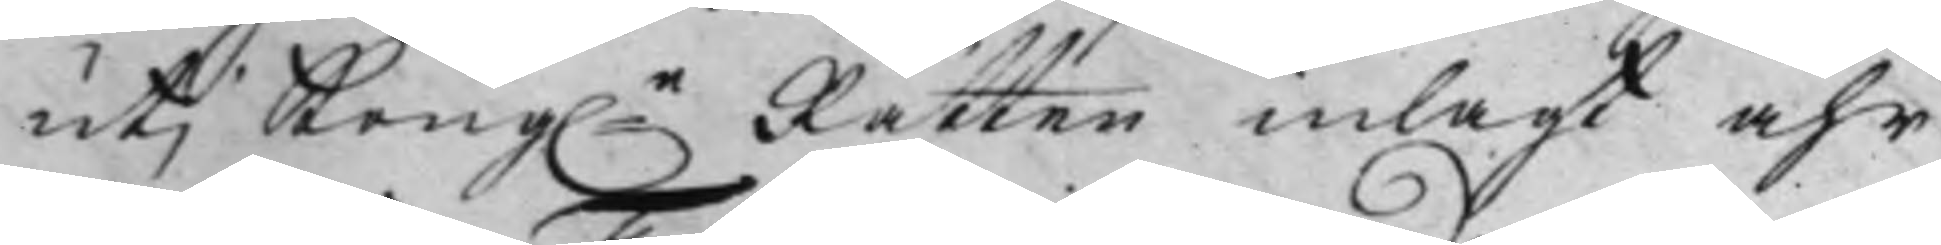utj Kong.e Rätten inlagt åhr
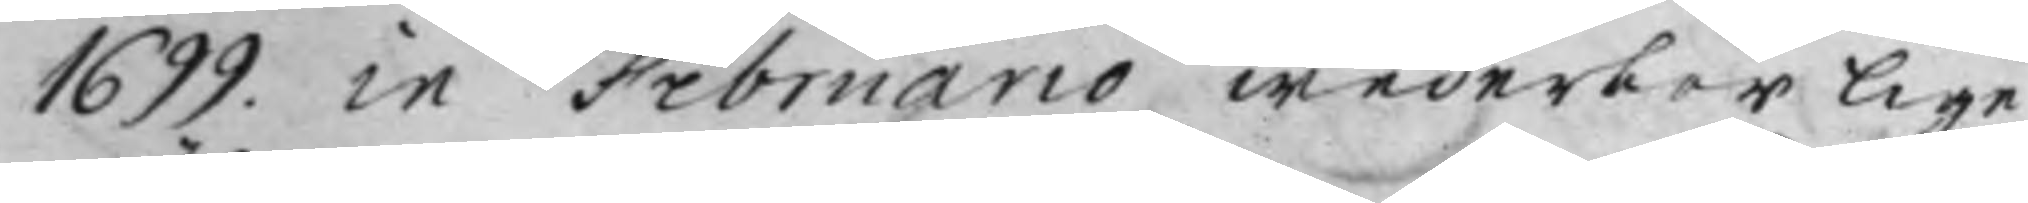1699. in Februario wederbörlige
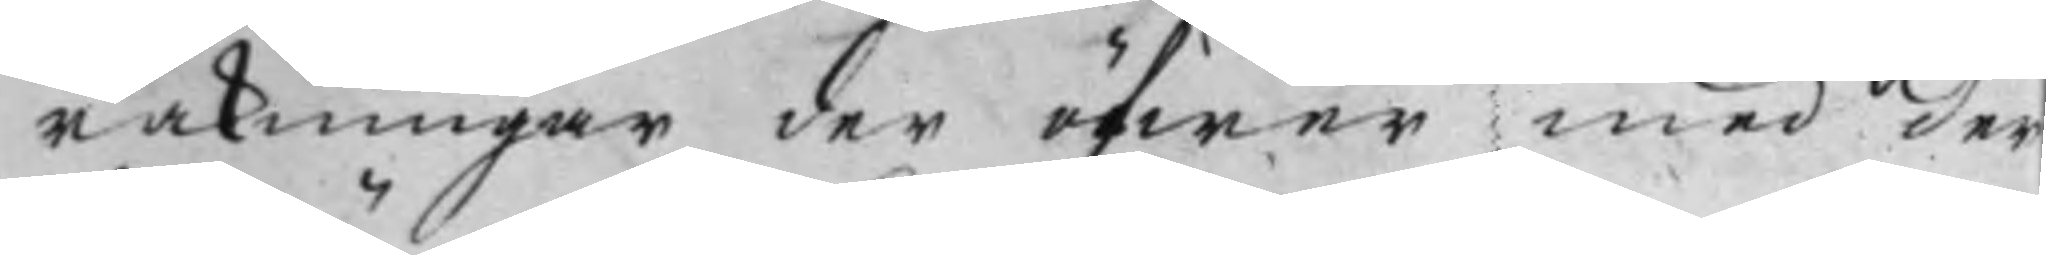räkningar der öfwer med der
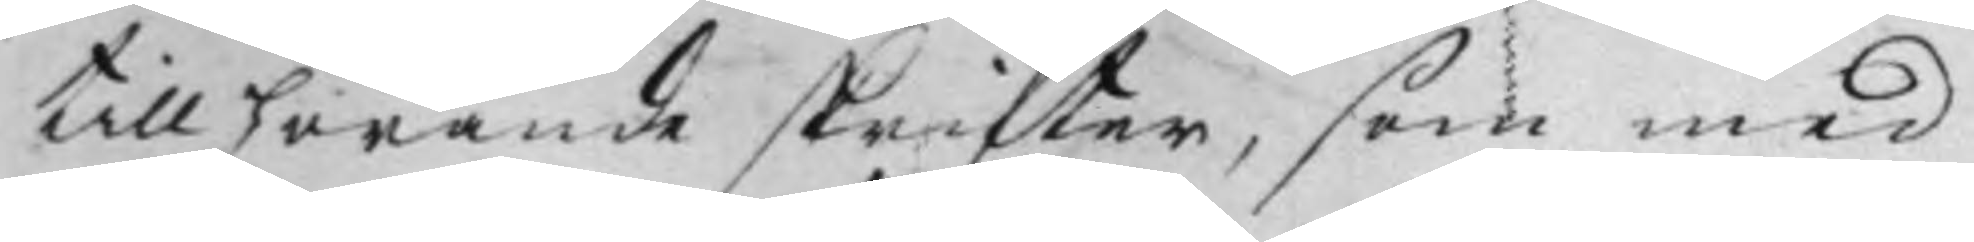tillhörande skrifter, som med
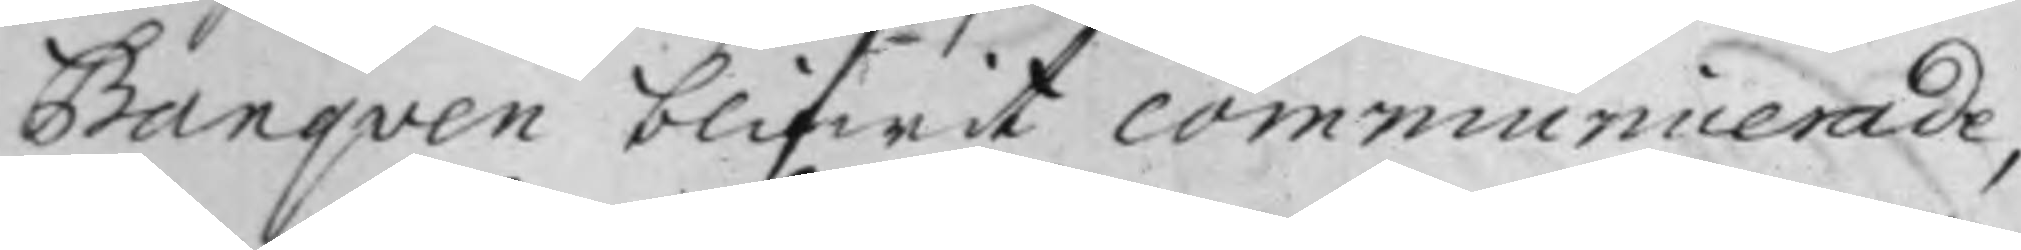Banqven blifwit communicerade,
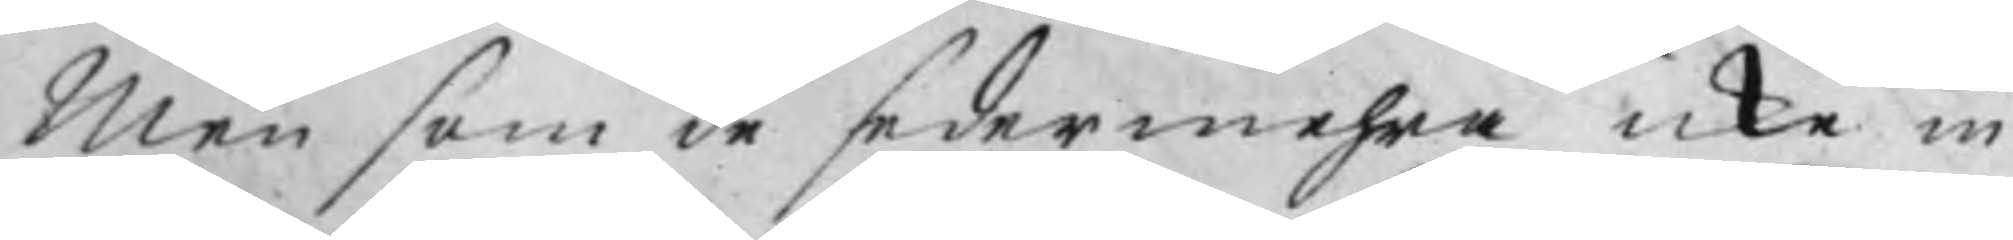Men som de sedermehra icke in¬
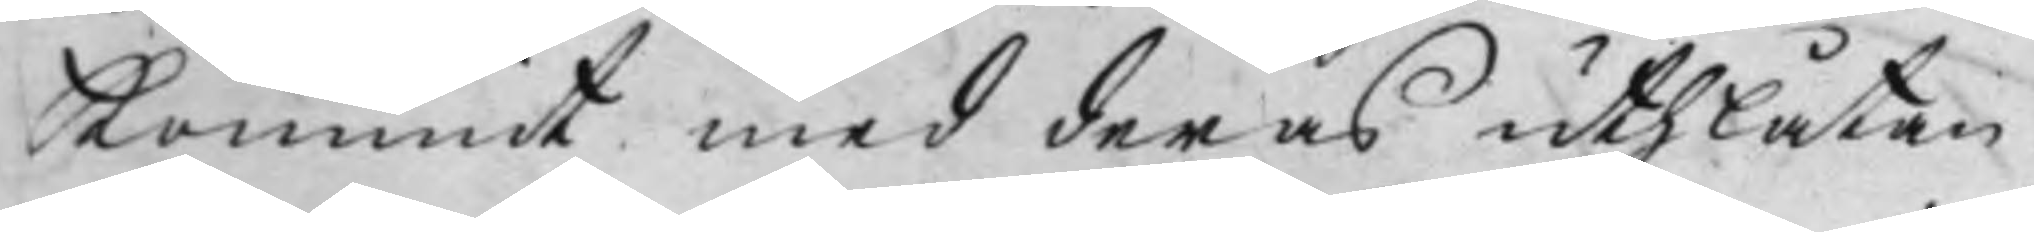kommit med deras uthlåtan¬
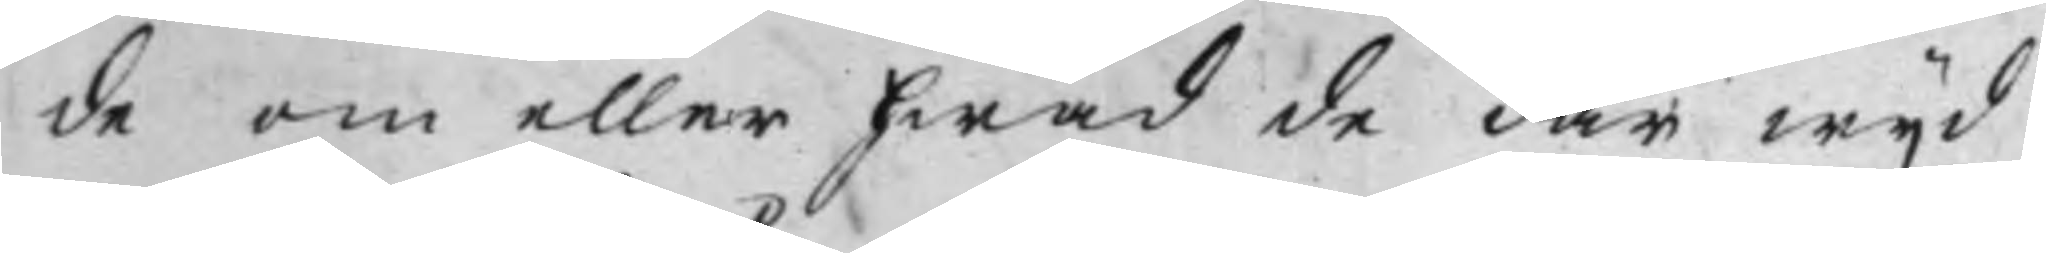de om eller hwad de där wijd
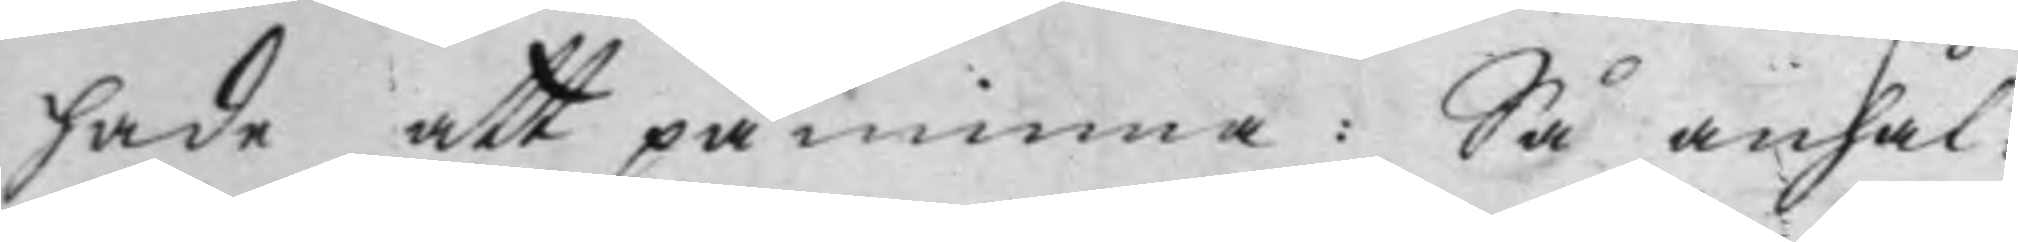hade att påminna: Så anhål¬
